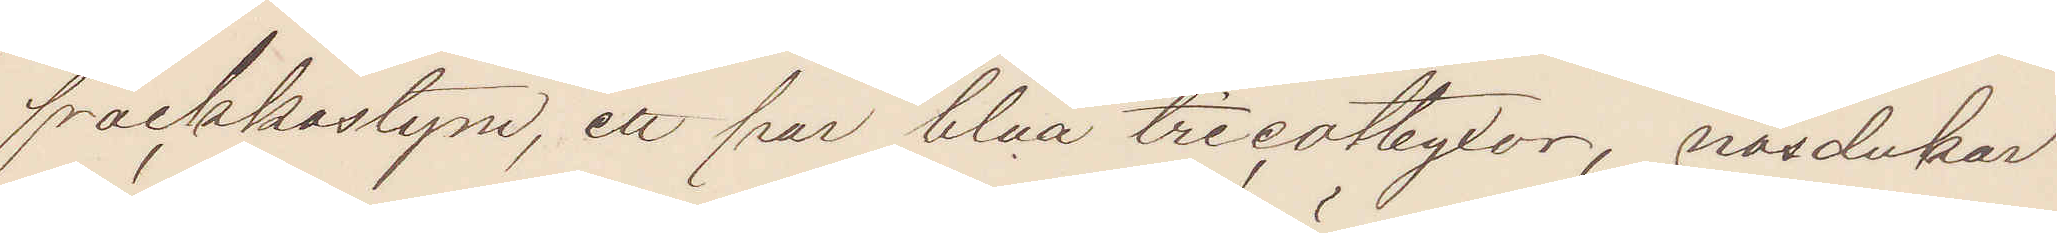frackkostym, ett par blåa tricotbyxor, näsdukar
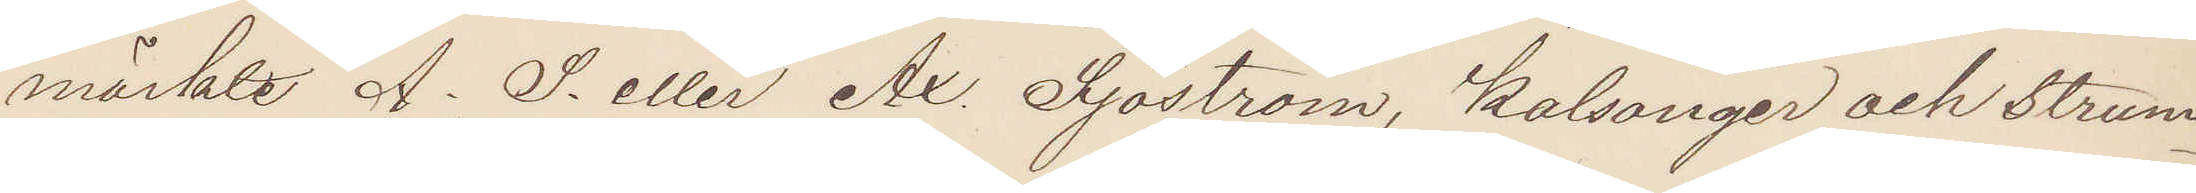märkte A. S. eller Ax. Sjöström, kalsonger och strum¬
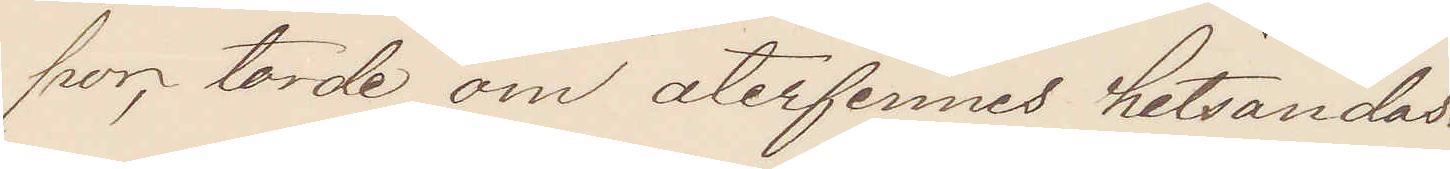por, torde om återfinnes hitsändas.
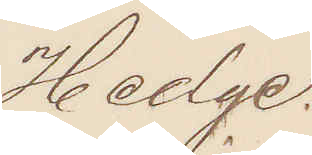Hedge.
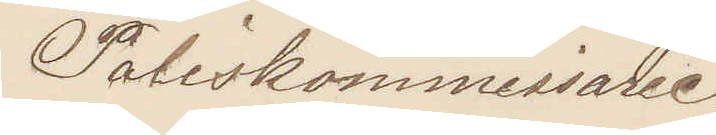Poliskommissarie.
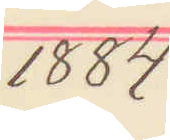1884
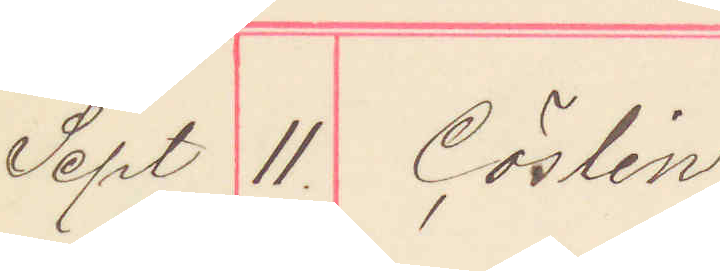Sept 11. Cöslin
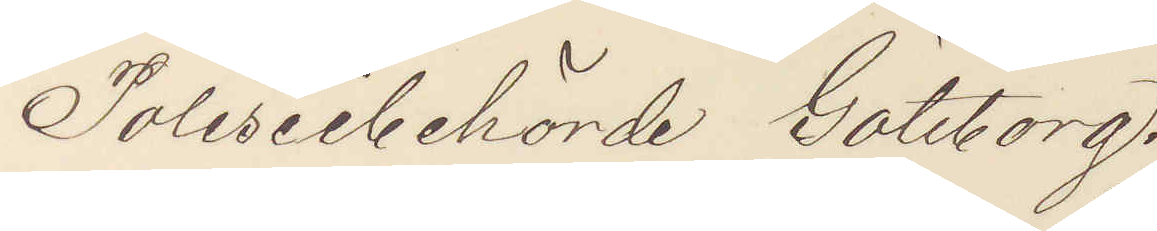Poliseibehörde Göteborg.
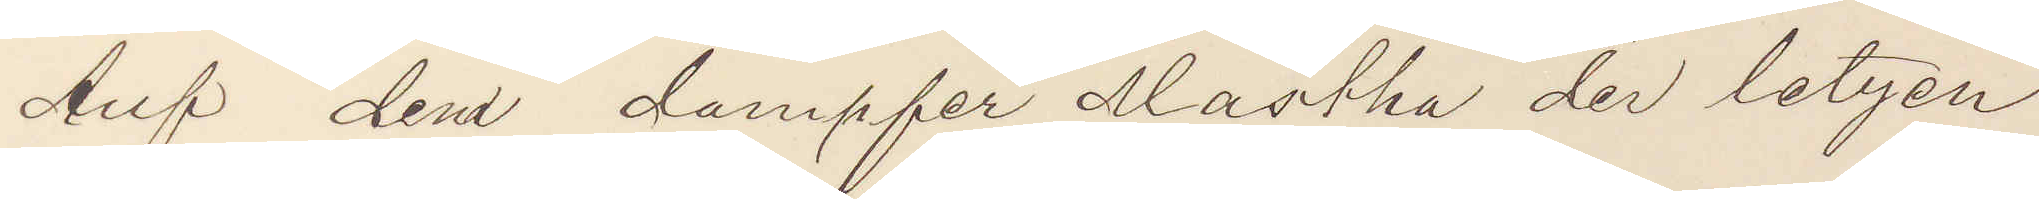Auf dem dampfer Martha der letzen
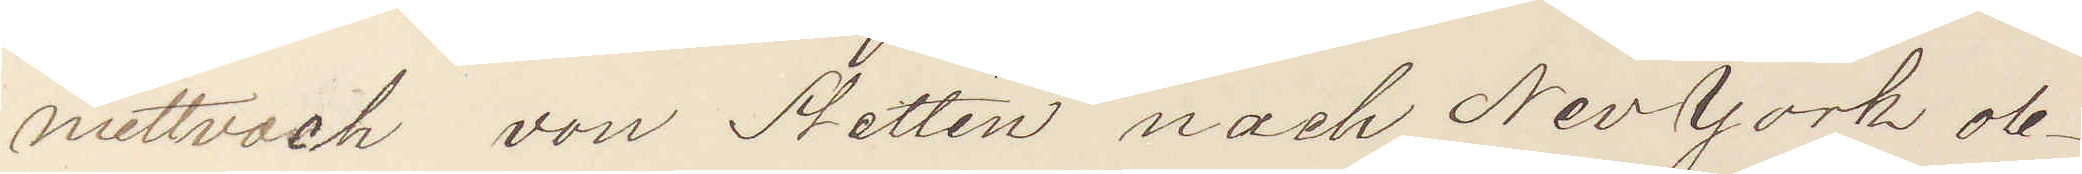mittvoch von Stettin nach NevYork ob¬
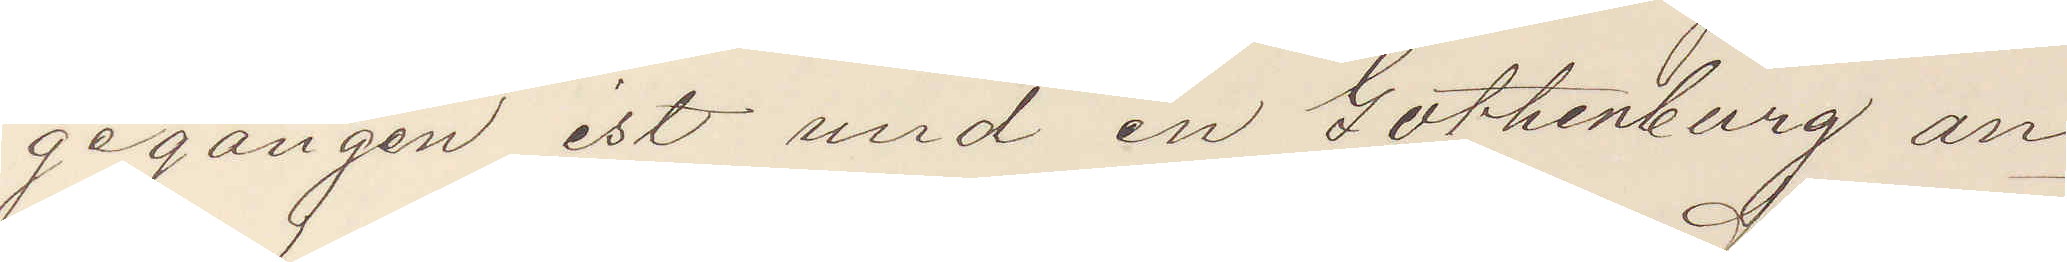gegangen ist und in Gothenburg an¬
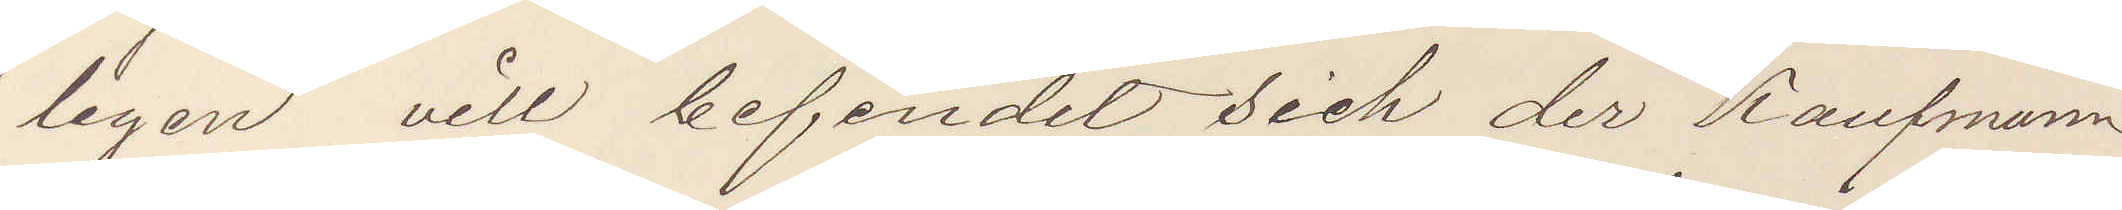legen vill befindet sich der Kaufman
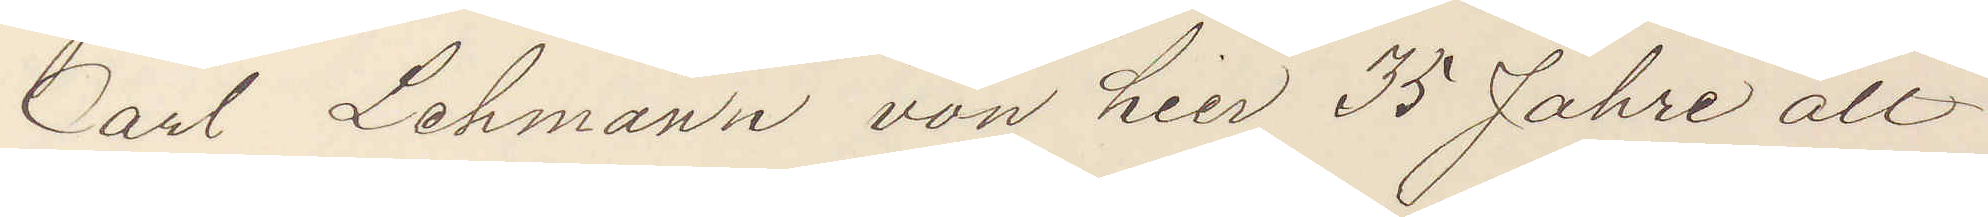Carl Lehmann von hier 35 Jahre alt
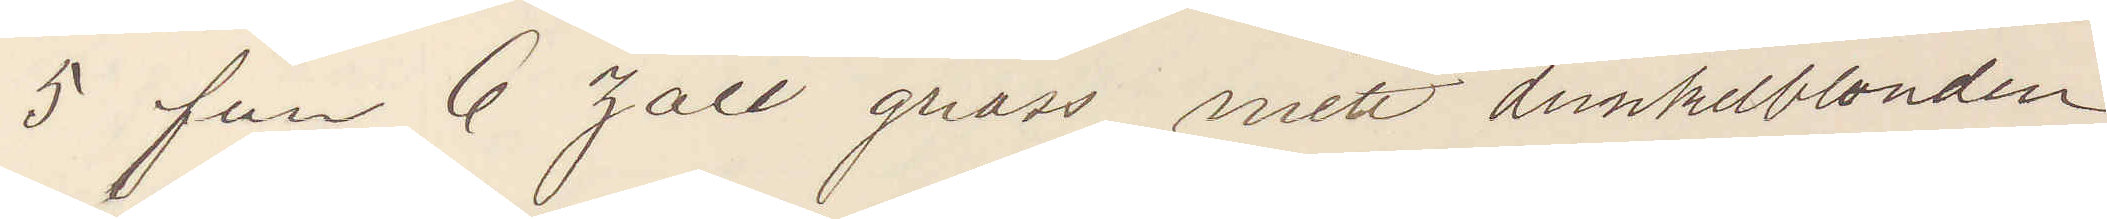5 fuss 6 zoll gross mitt dunkelblonden
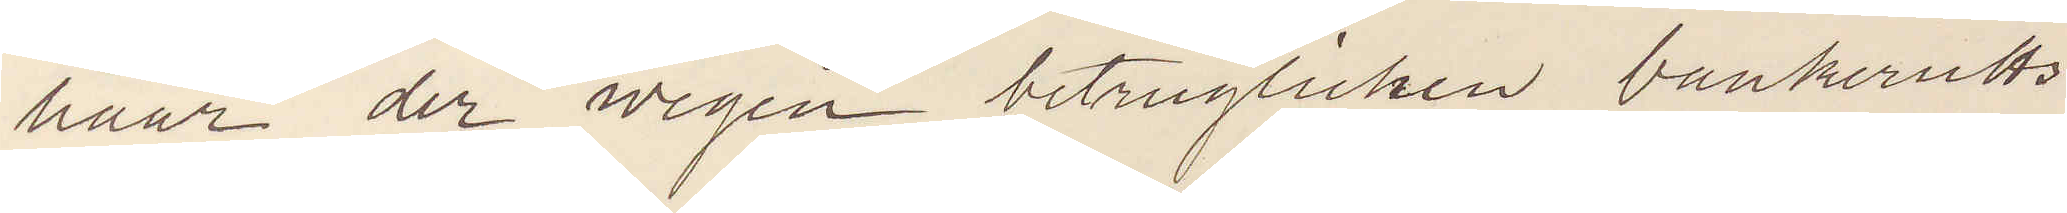haar der wegen betrüglichen bankerutts
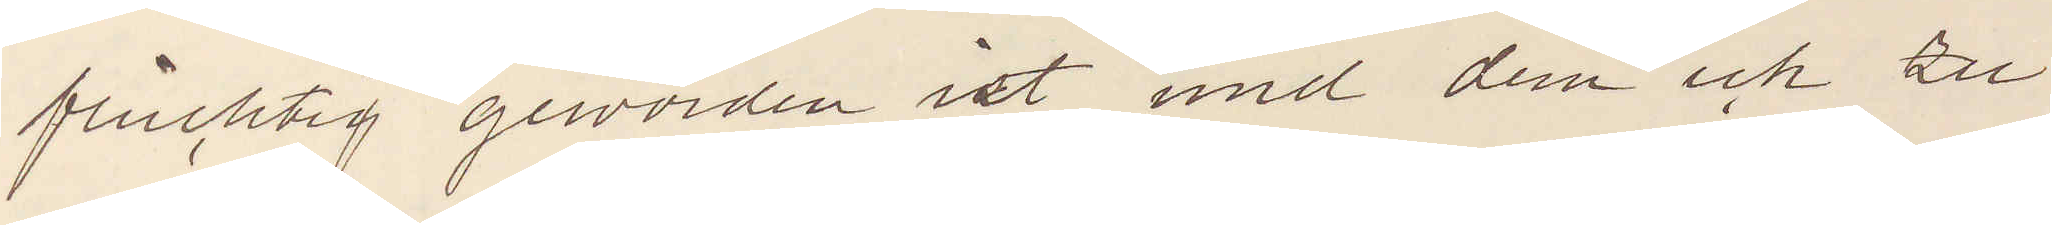fluchtig geworden ist und dem ich zu
